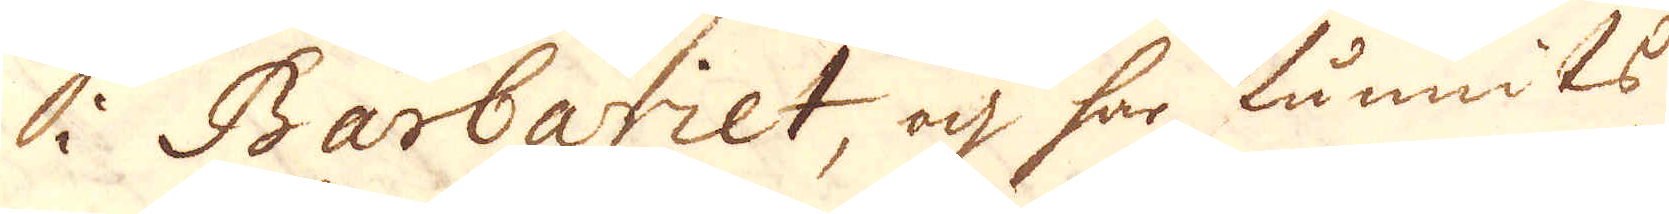i Barbariet, och har funnits
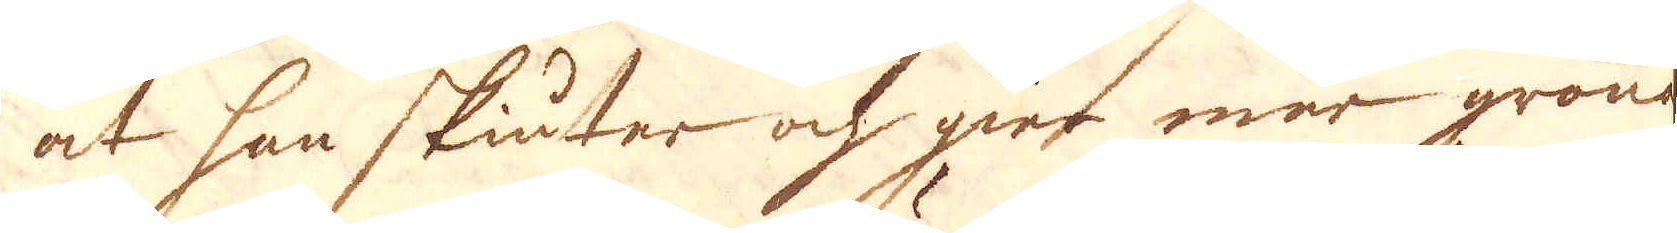at han skiuter och gier mer gröna
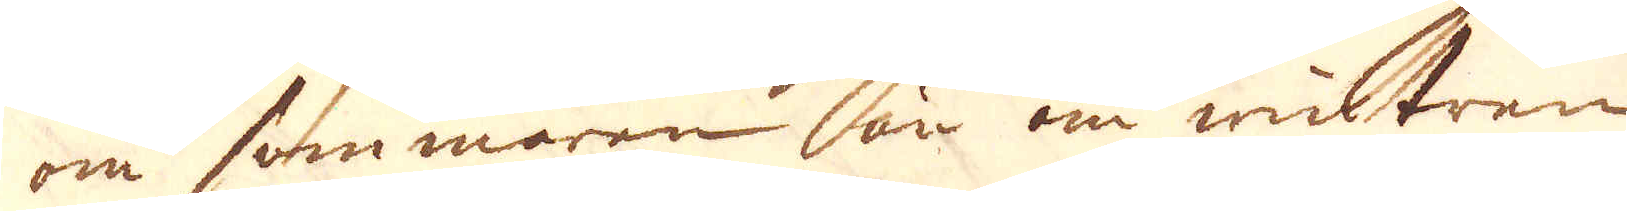om sommaren än om wintren
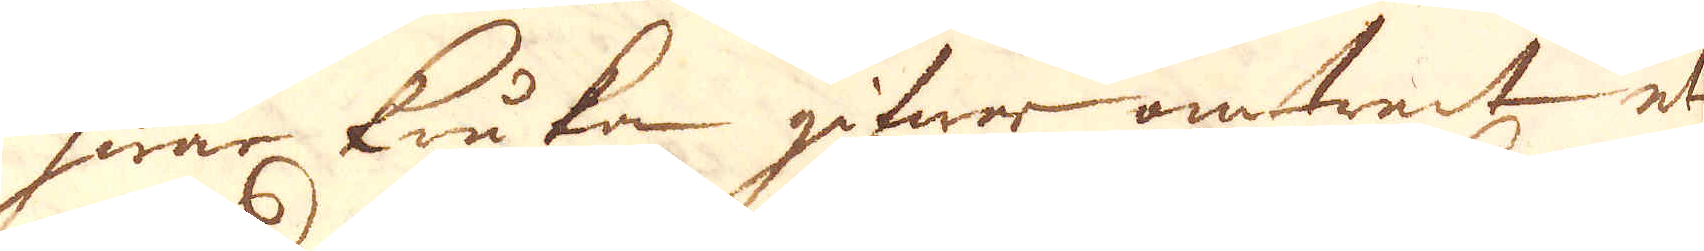hwar kukan gifwar omtrent et
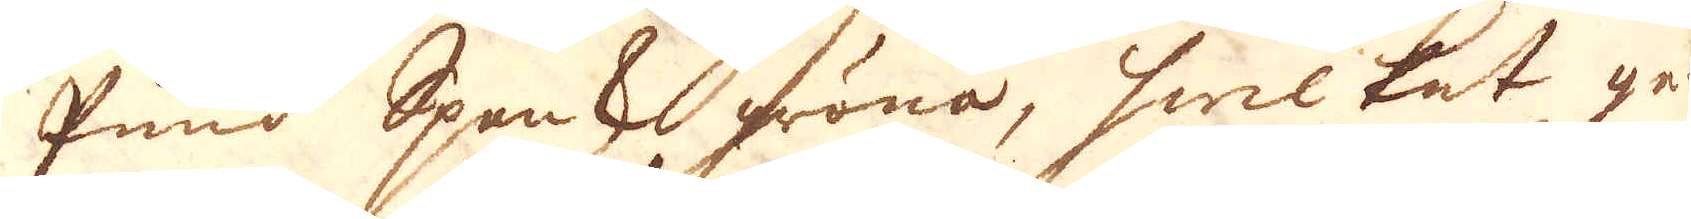Pund Spansk gröna, hwilkat ge-
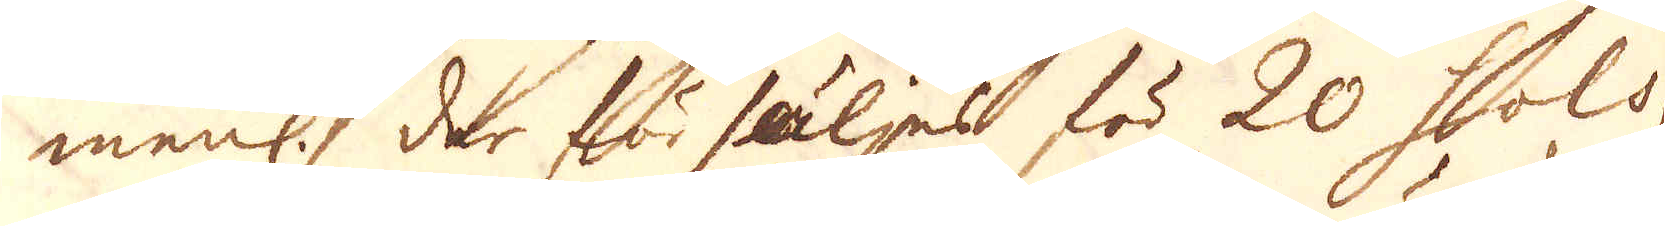menl. der för säljest för 20 Sols,
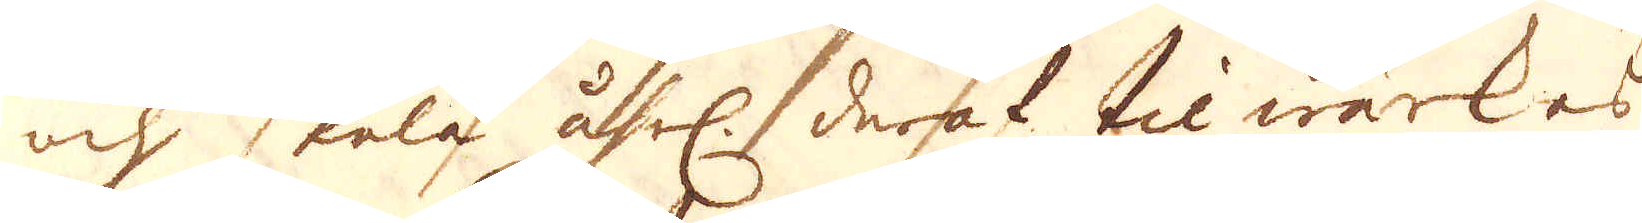och skola åhrl. deraf, tilwärkes
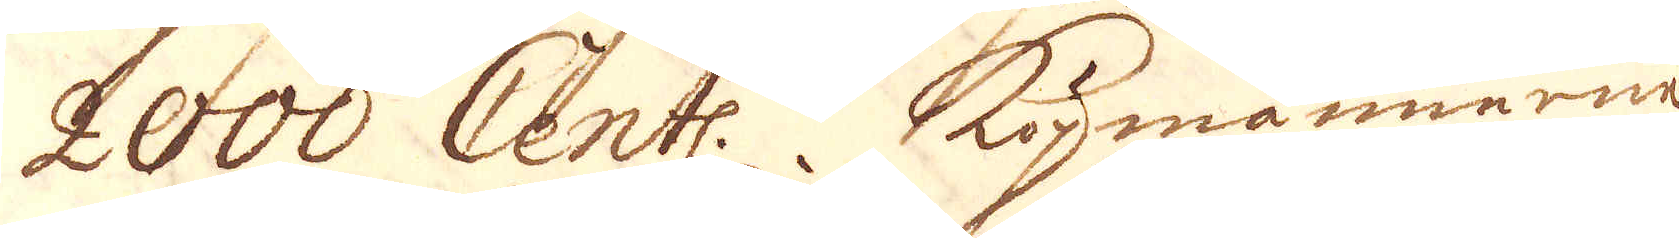2000 Cent. Köpmännerne
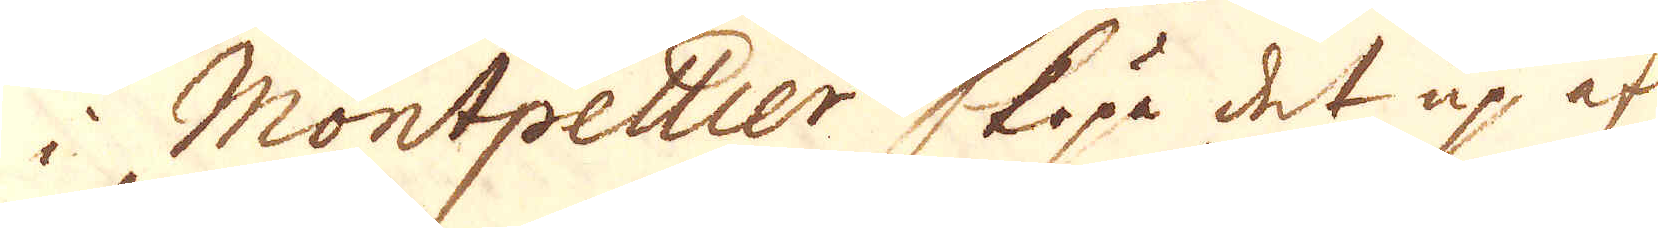i Montpellier köpa det up af
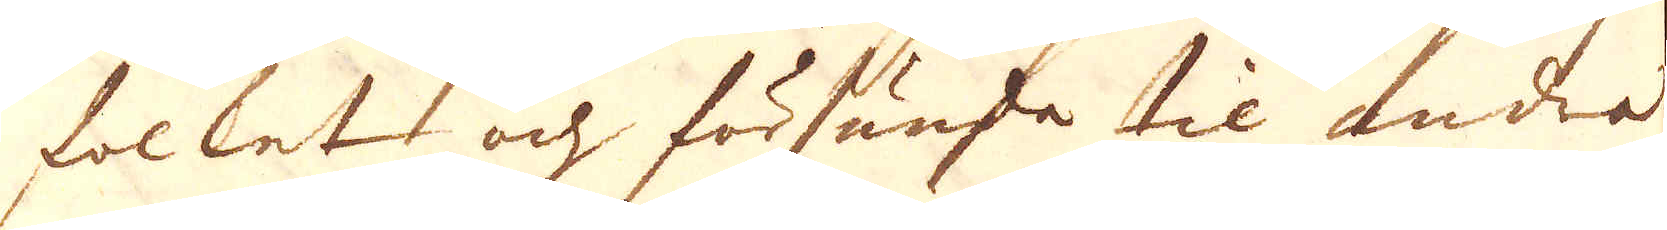folket och försända til anda
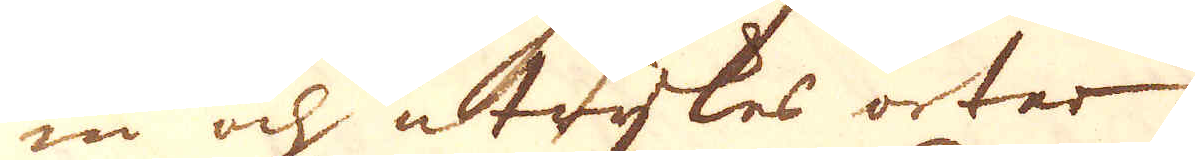in och utrijkes orter.
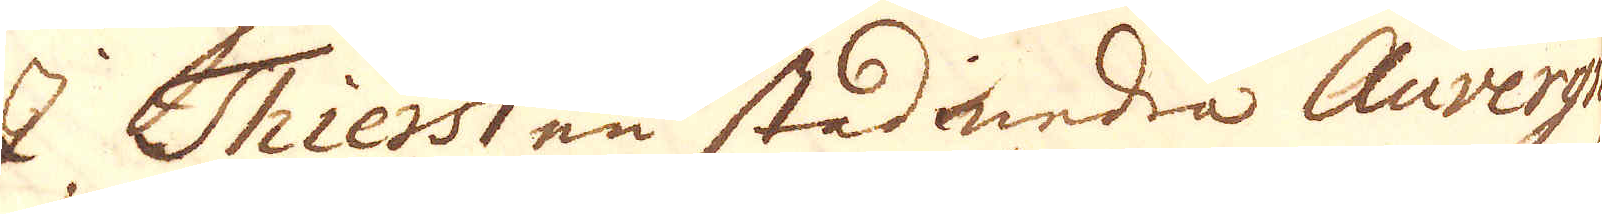I Thiers en stad undra Auvergne
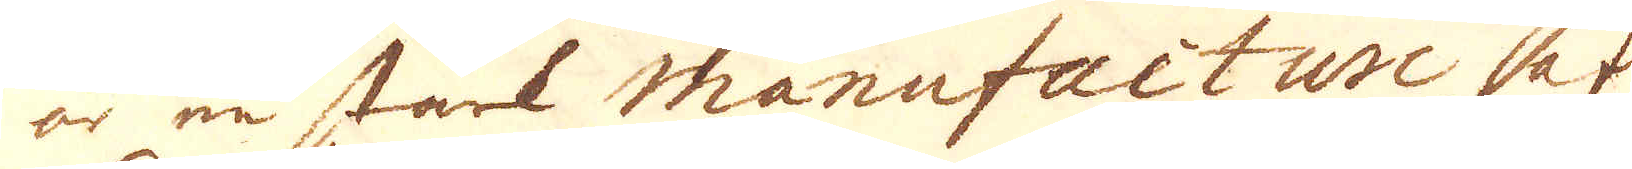är en stark Manufacture af
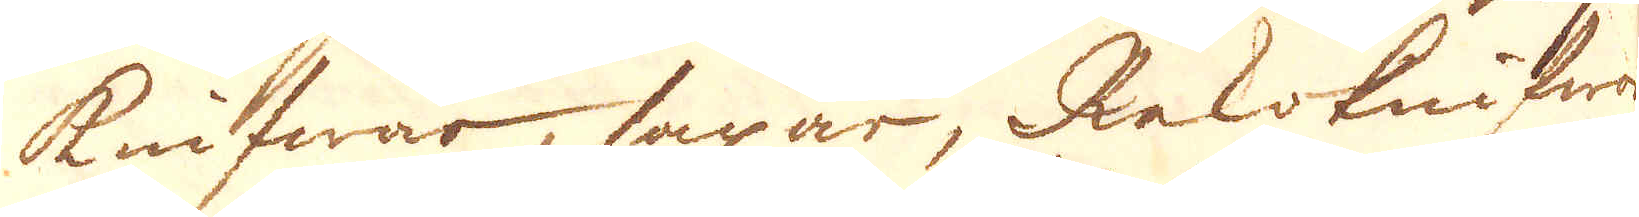knifwar, saxar, Rakknifwar
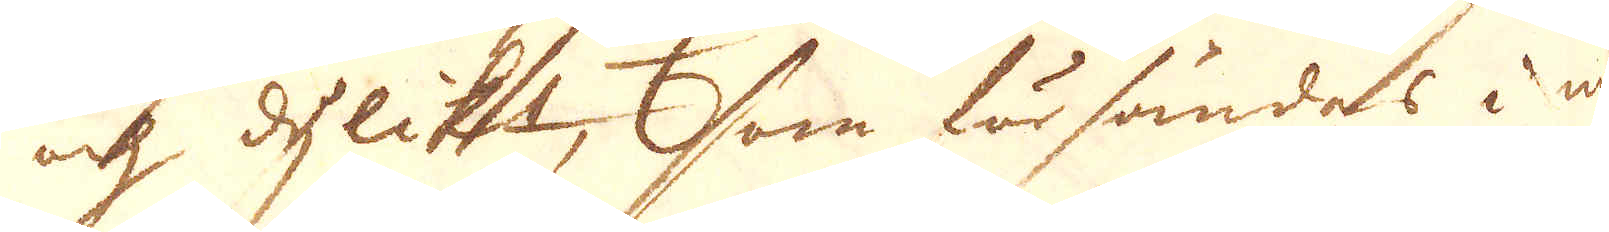och dylikt, som försändes i my-
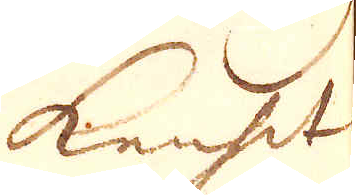kenhet
